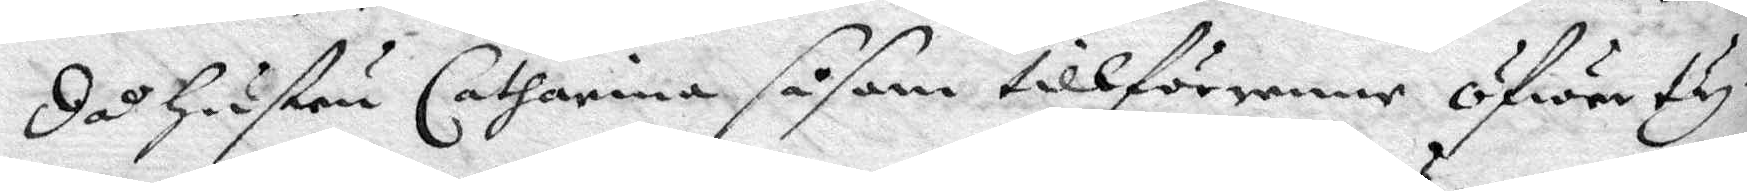då Hustru Catharina såsom tillförenne öfwerty¬
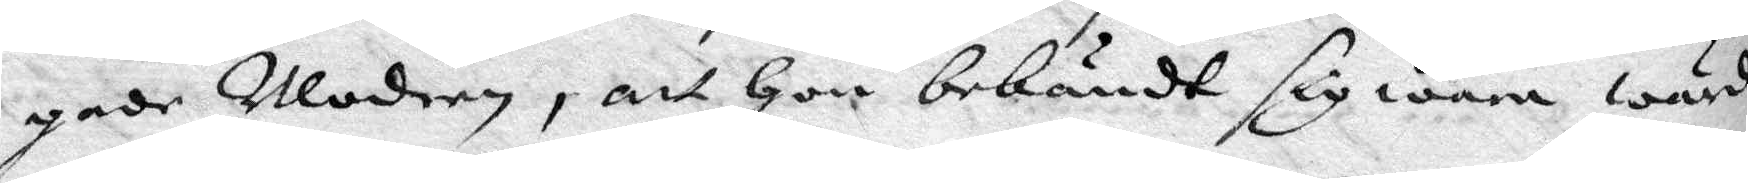gade Modren, att Hon bekändt sig wara wärd
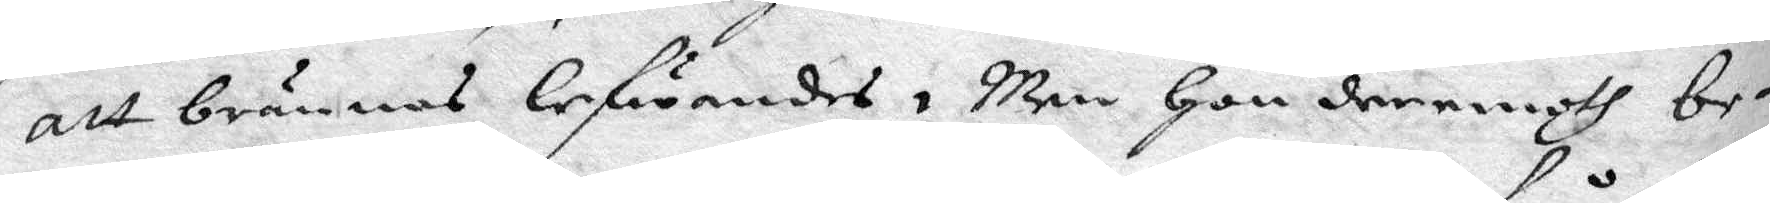att brännas lefwandes, Men Hon dereemoth be¬
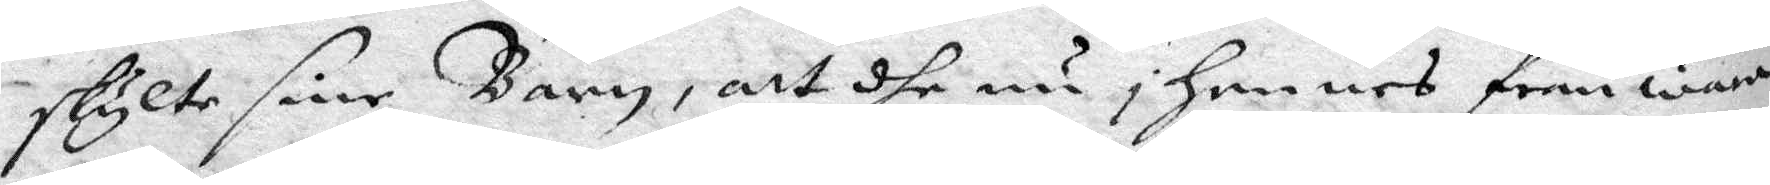skylte sine Barn, att dhe nu i hennes från wara
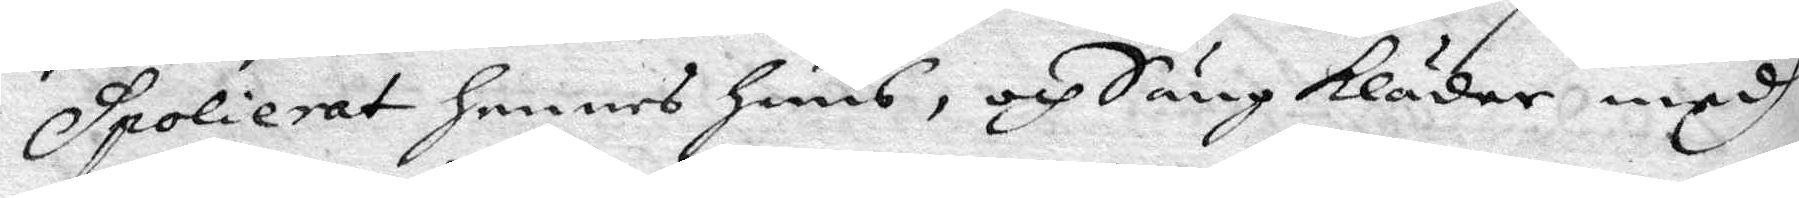spolierat hennes huus, och Säng kläder medh
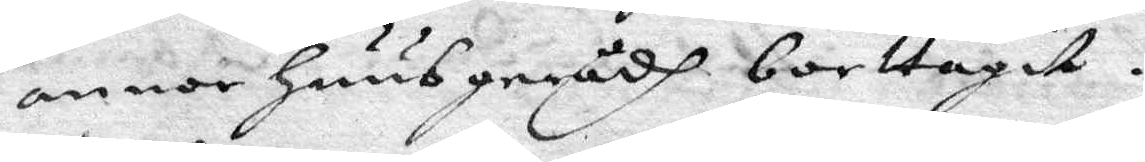annor Huus gerådh borttagitt. 
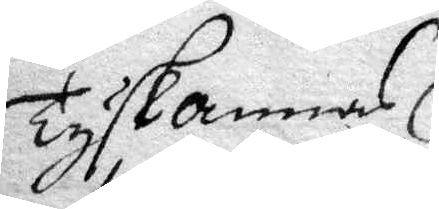Tyskannas
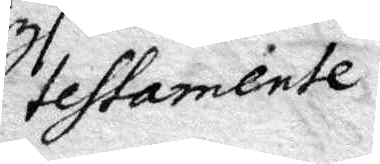testamente.
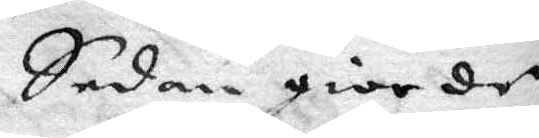Sedan giorde
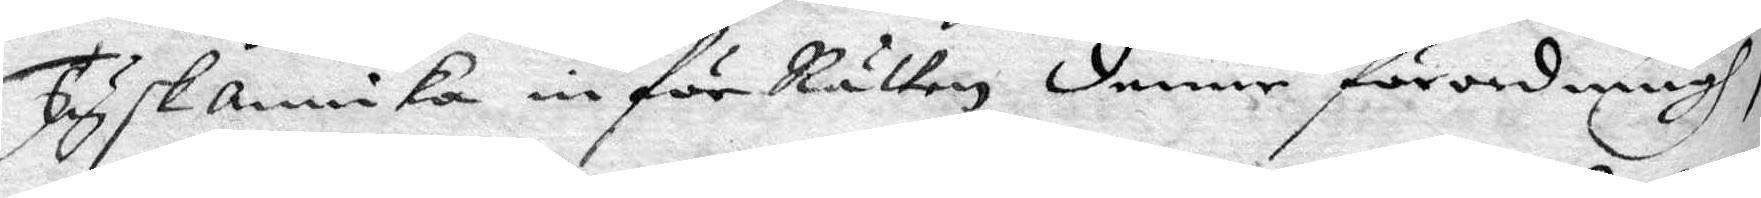Tysk annika in för Rätten denne förordningh,
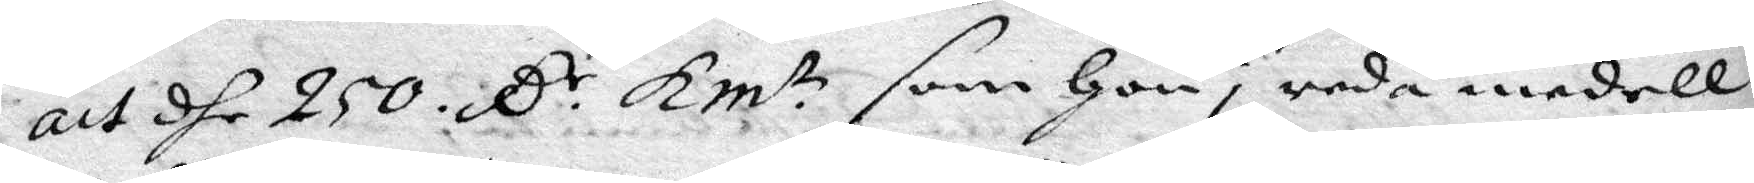att dhe 250. C:r Kmt som Hon i reda medell
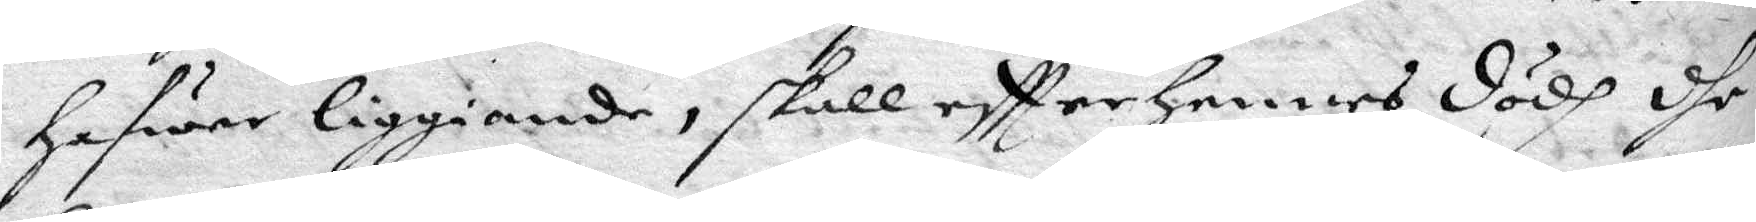hafwer liggiande, skall eftter hennes dödh dhe¬
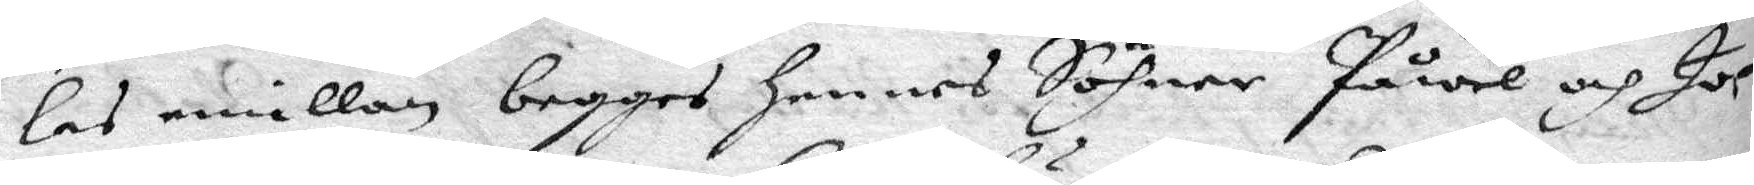las emillan begges Hennes Söhner Påwel och Jo¬
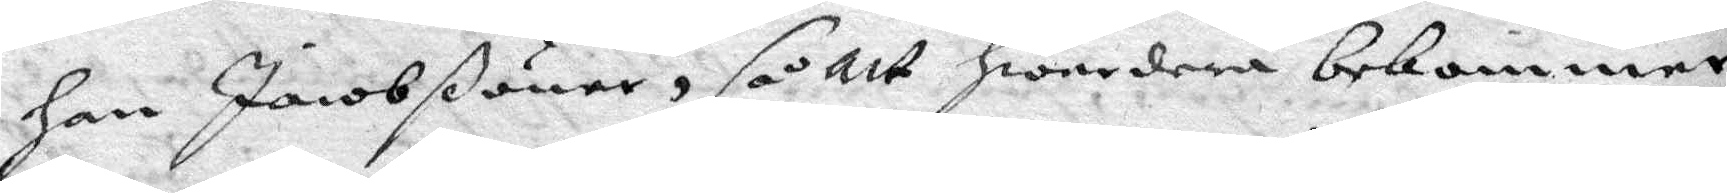han Jacobßöner, så att hwardera bekommer
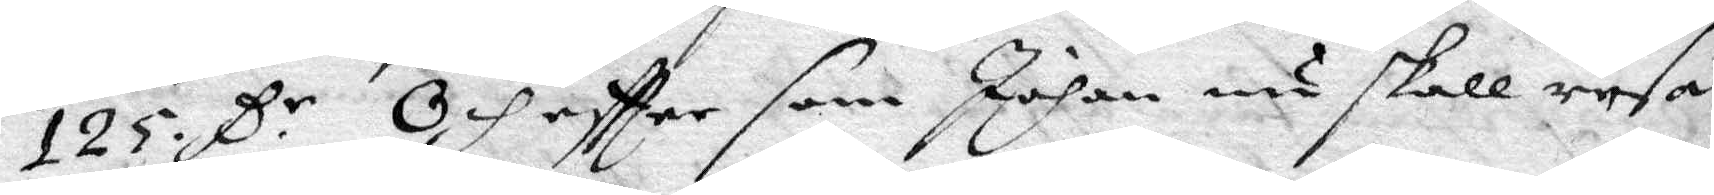123 C:r Och eftter som Johan nu skall resa
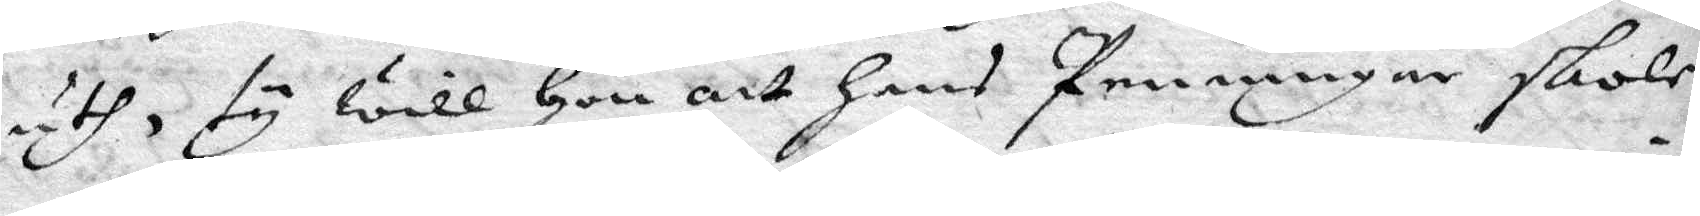uth, ty will Hon att hans Penningar skole
